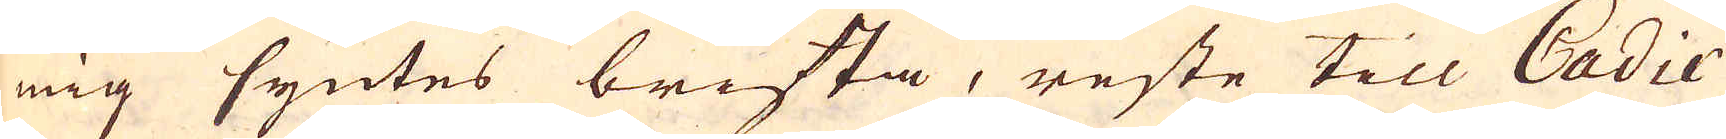mig syntes brista, reste till Cadix
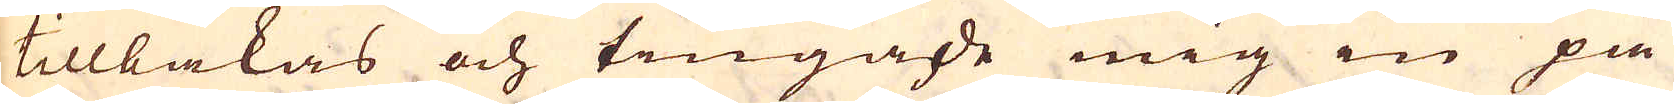tillbakas och tingade mig in på
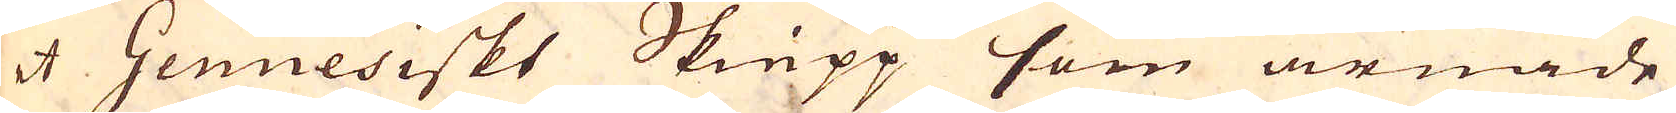et Genuesiskt Skiepp som ärnade
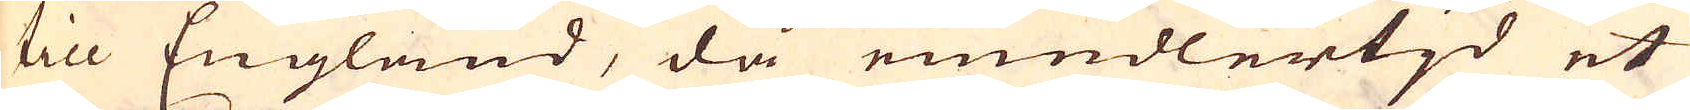till England, då emedlertjd et
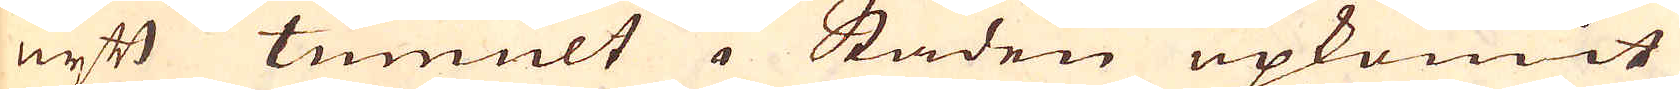nyt tumult i Staden upkomit
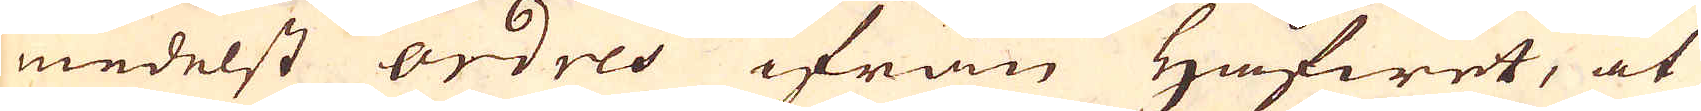medelst ordres ifrån Håfwet, at
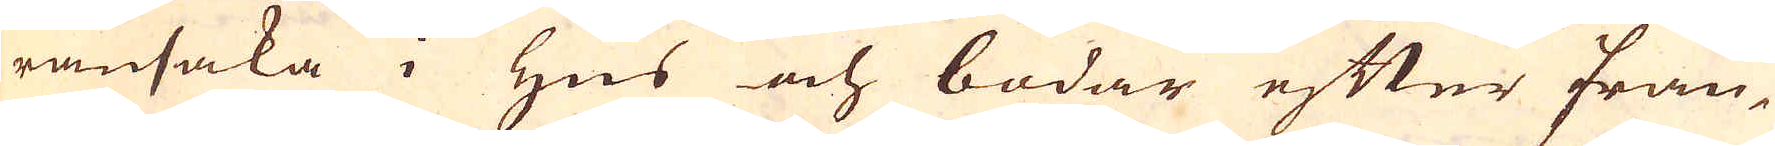ransaka i Hus och bodar efter fran-
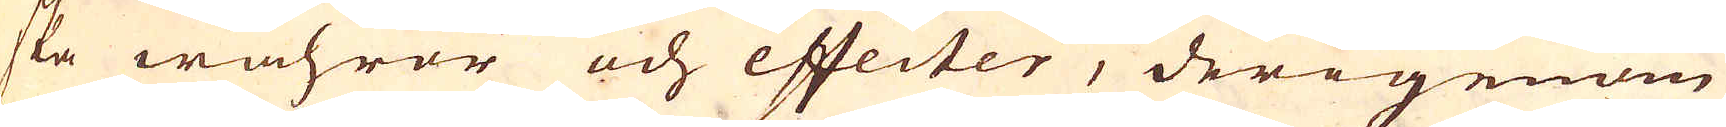ska wahror och effecter, derigenom
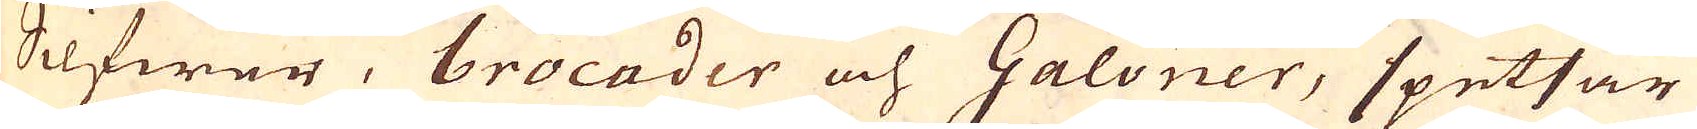Silfwer, brocader och Galoner, spetsar
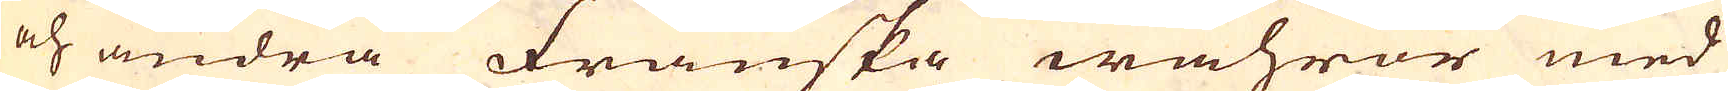och andra Franska wahror med
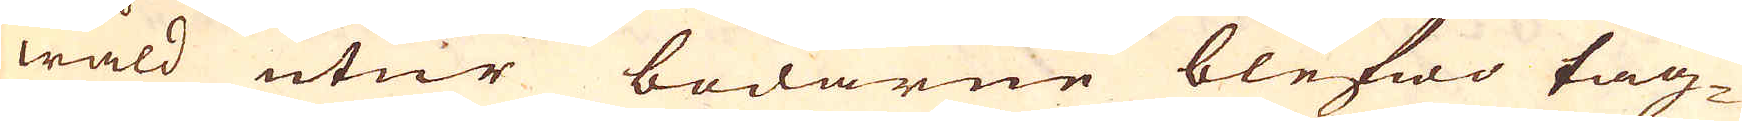wåld utur bodarne blefwo tag-
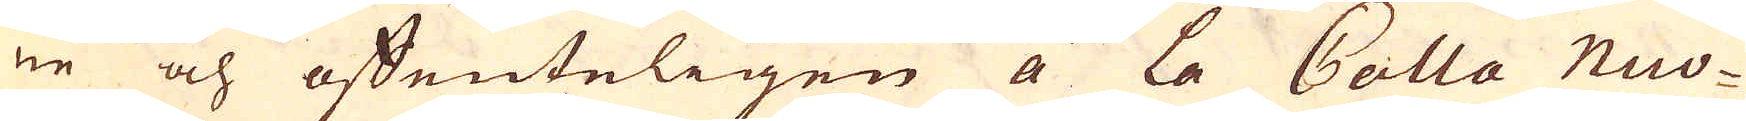ne och offenteligen á la Calla Nuo-
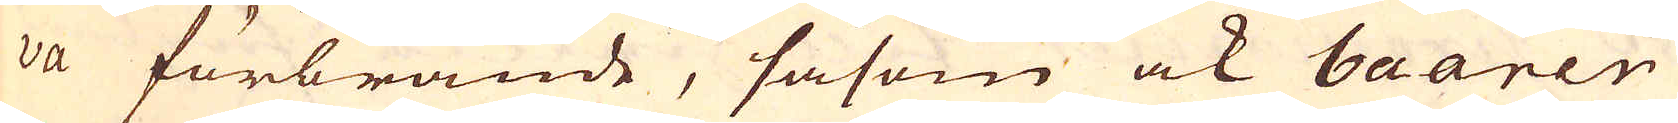va förbrände, såsom ock baarer
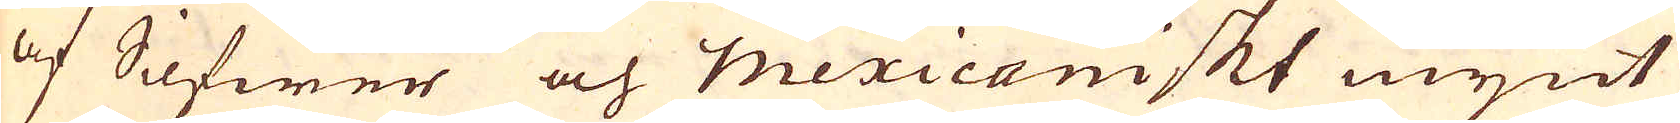af Silfwer och mexicaniskt mynt
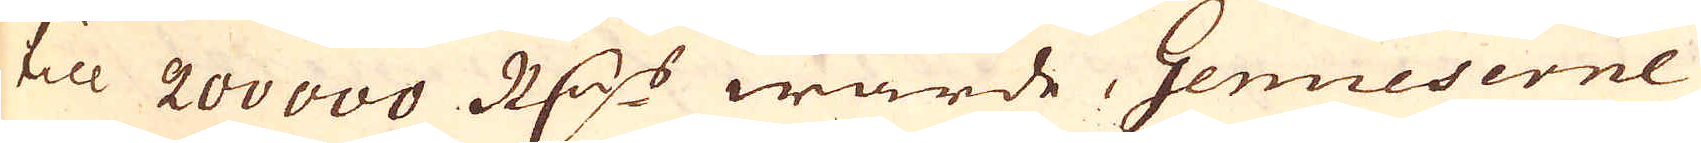till 200 000 R:drs wärde, Genueserne
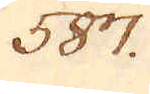587.
